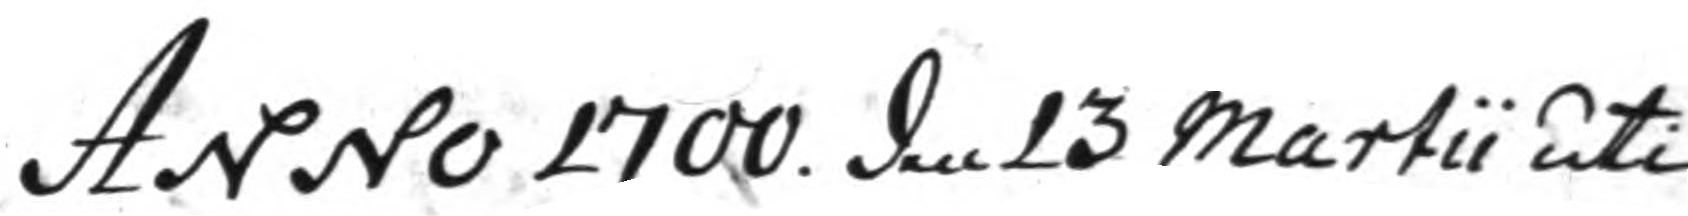Anno 1700 den 13 Martii uti
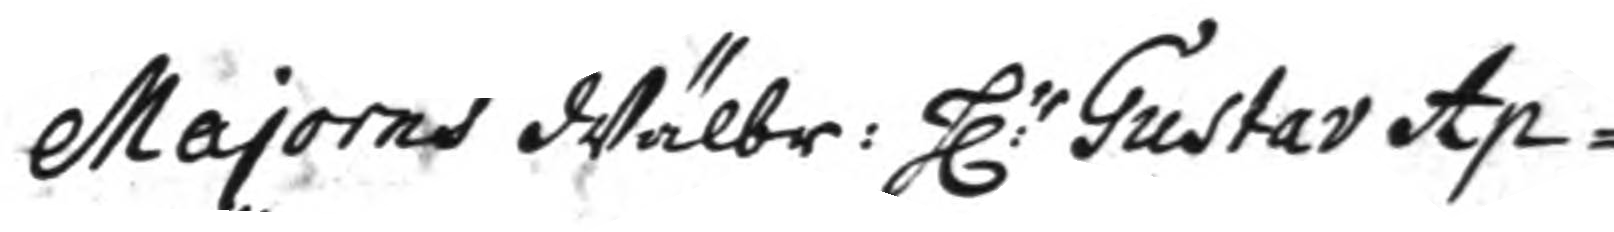Majorens Wälbr: h:r Gustav Ap¬
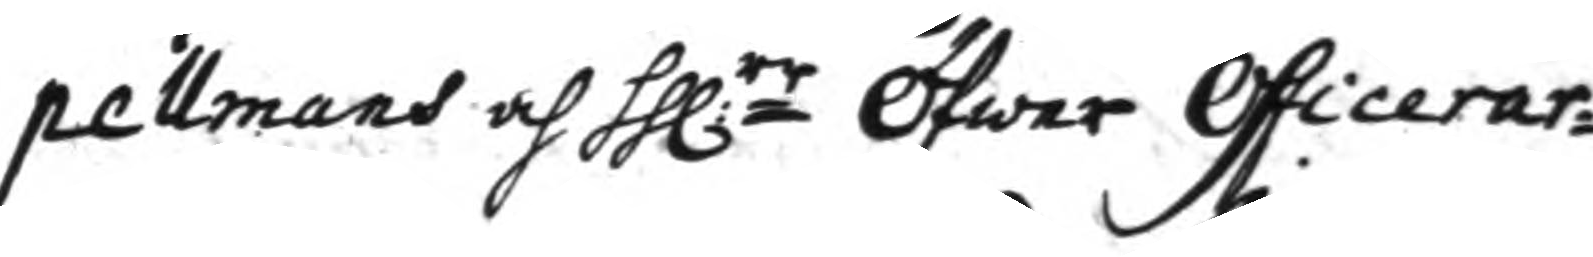pellmans och hh:rr Öfwer Officerar¬
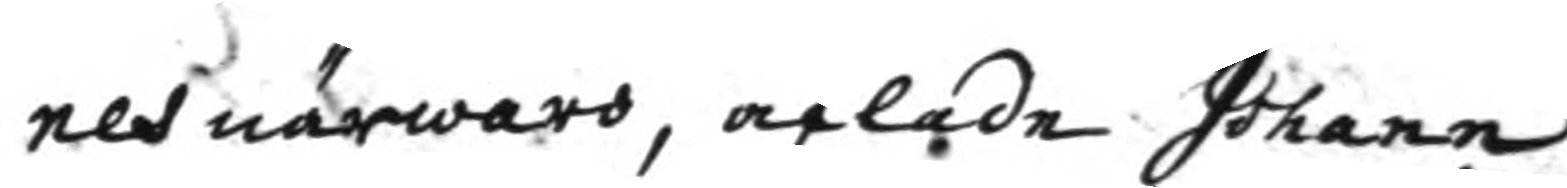nes närwaro, aflade Johann
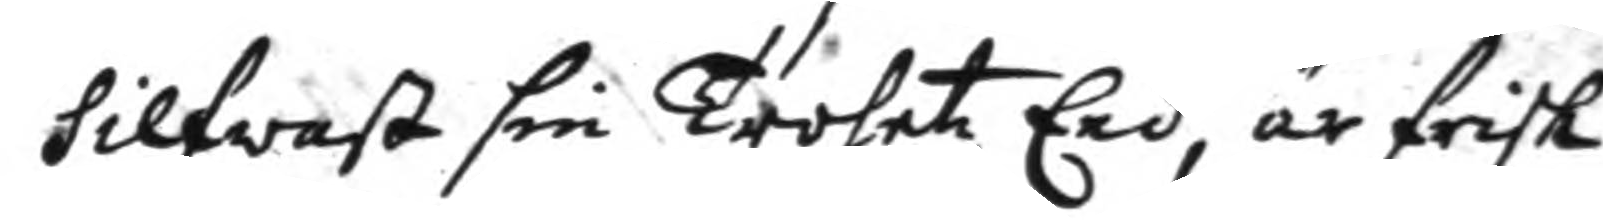Silfwast sin Trohetz Eed, är frisk
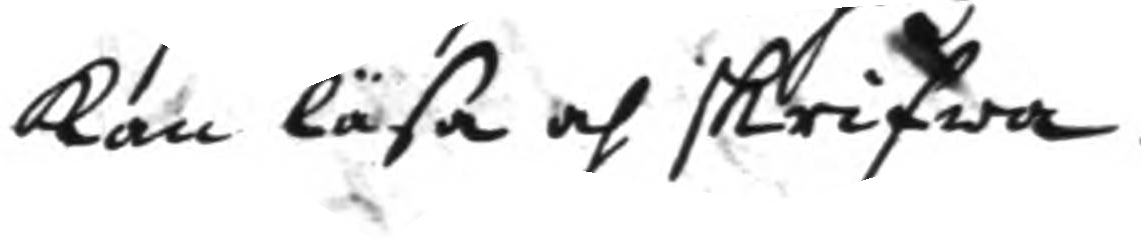kan läsa och skrifwa.
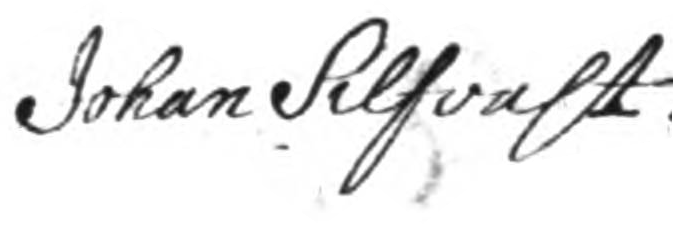Johan Silfvast.
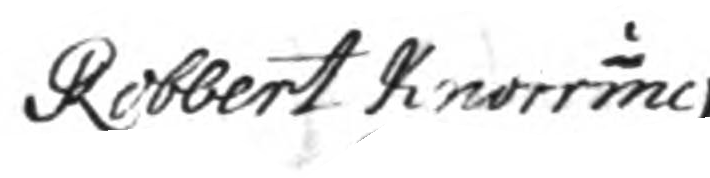Robbert Knorring
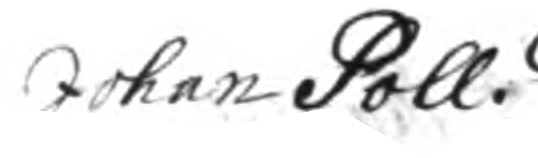Johan Poll
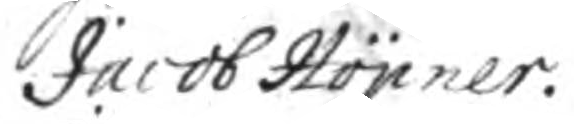Jacob Höpner.
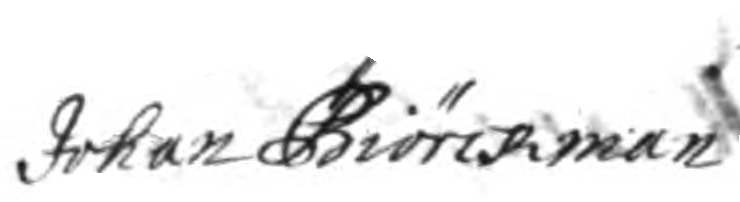Johan Biörckman
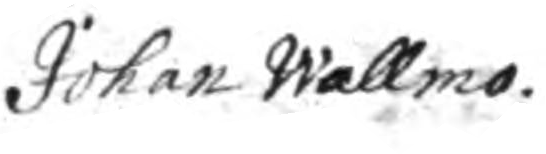Johan Wallmo
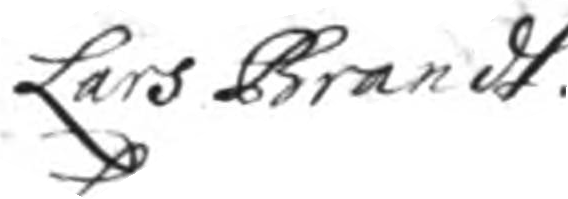Lars Brandt
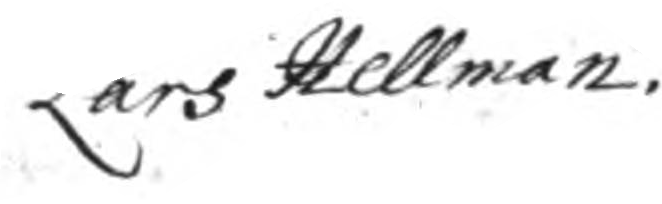Lars Hellman.
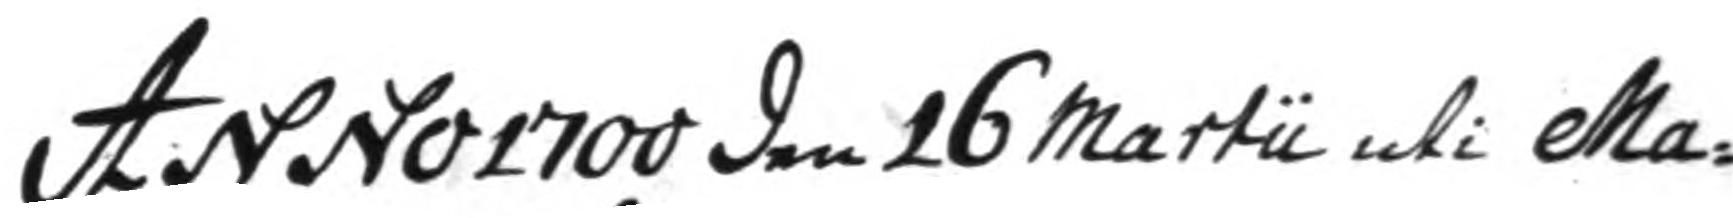Anno 1700 den 16 martii uti Ma¬
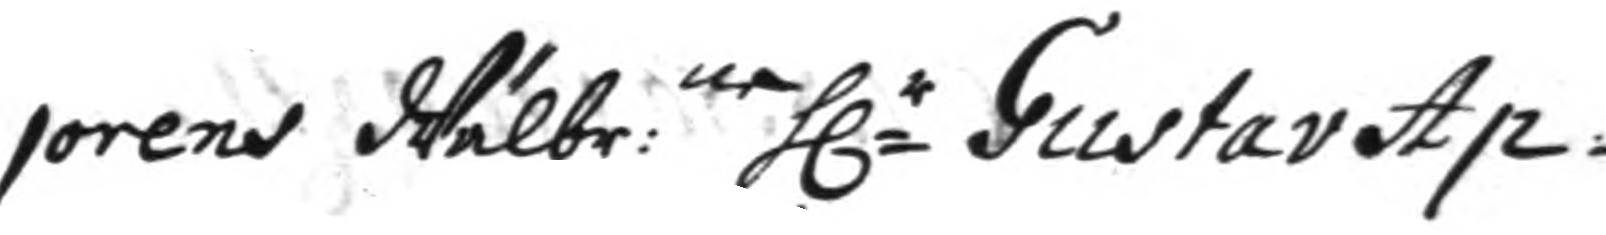jorens Wälbr:ne h.r Gustav Ap¬
